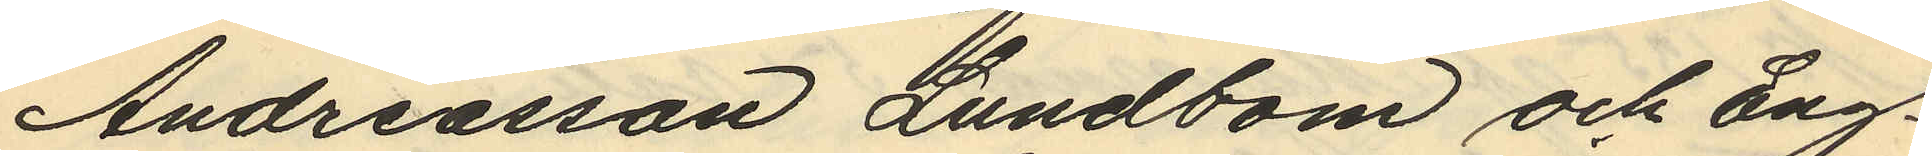Andreasson Lundbom och Eng¬
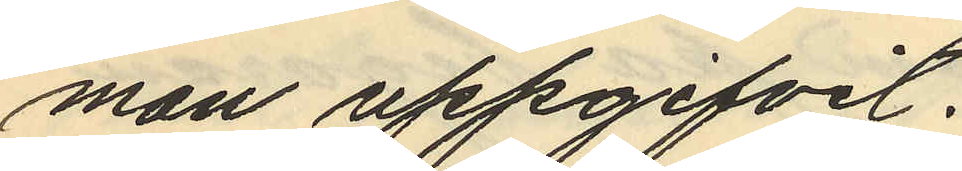man uppgifvit.
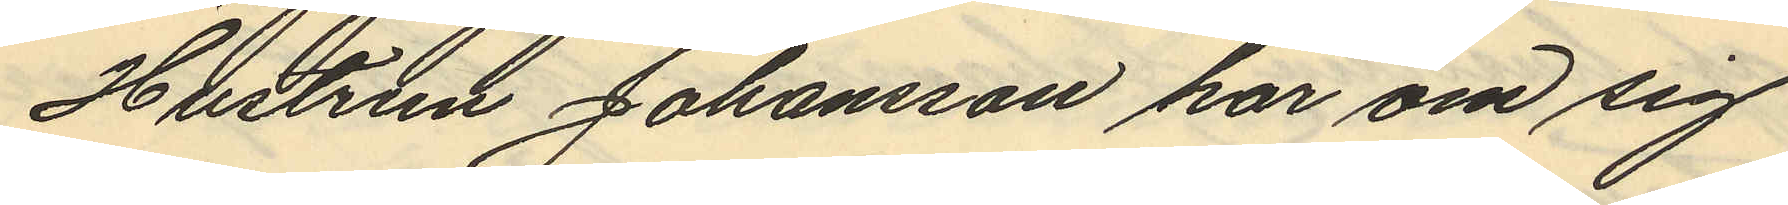Hustrun Johansson har om sig
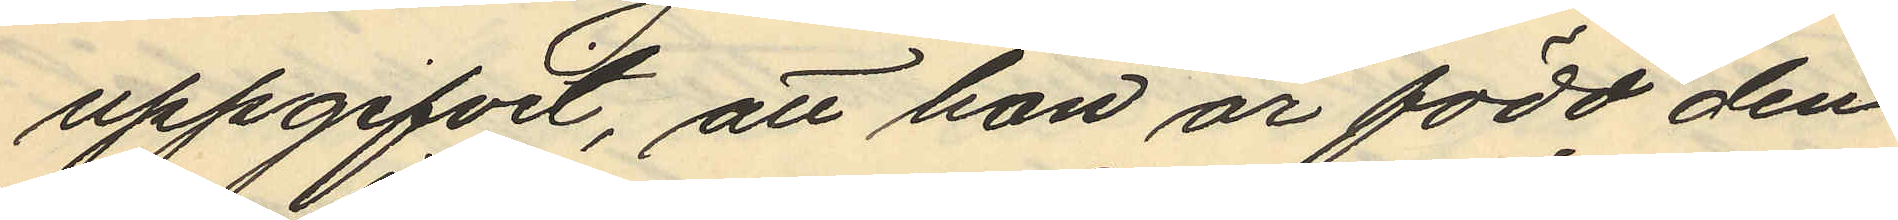uppgifvit, att hon är född den
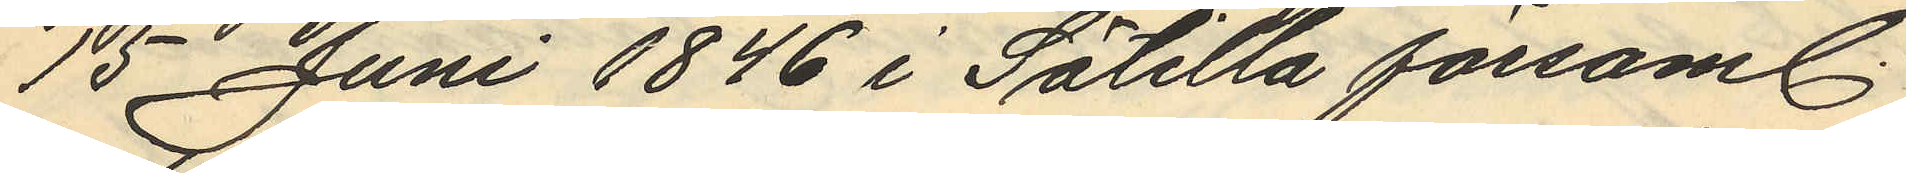15 Juni 1846 i Sätilla församl.
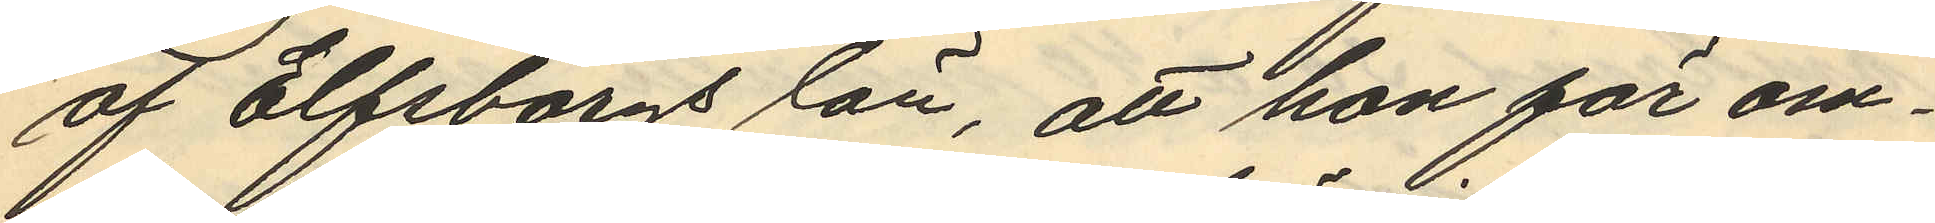af Elfsborgs län, att hon för om¬
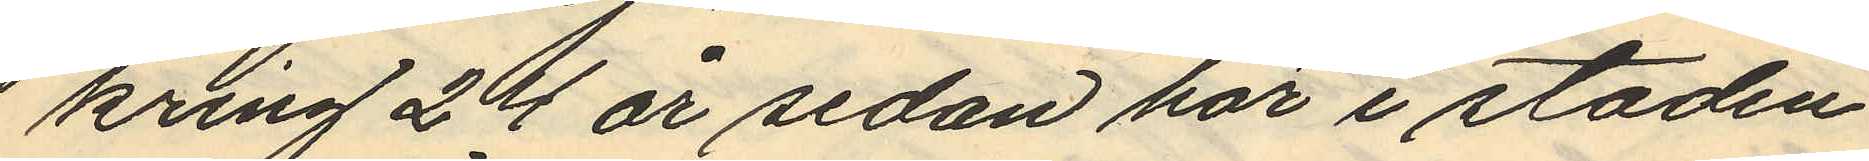kring 24 år sedan här i staden
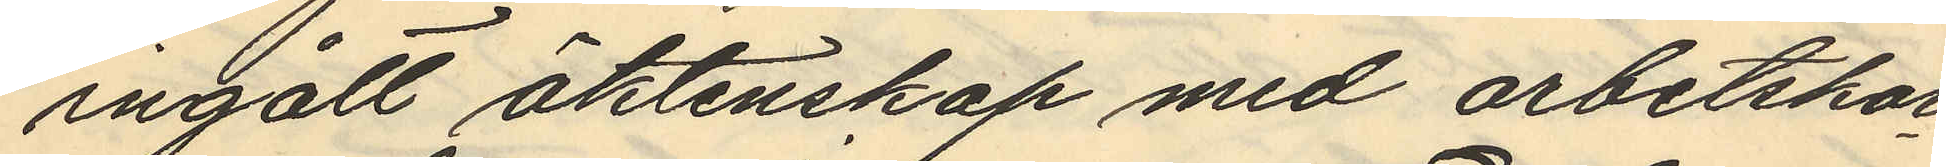ingått äktenskap med arbetskar¬
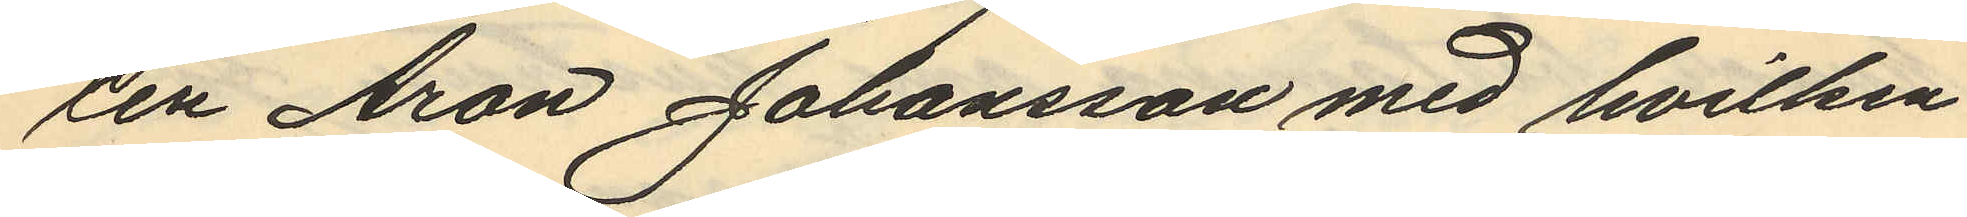len Aron Johansson med hvilken
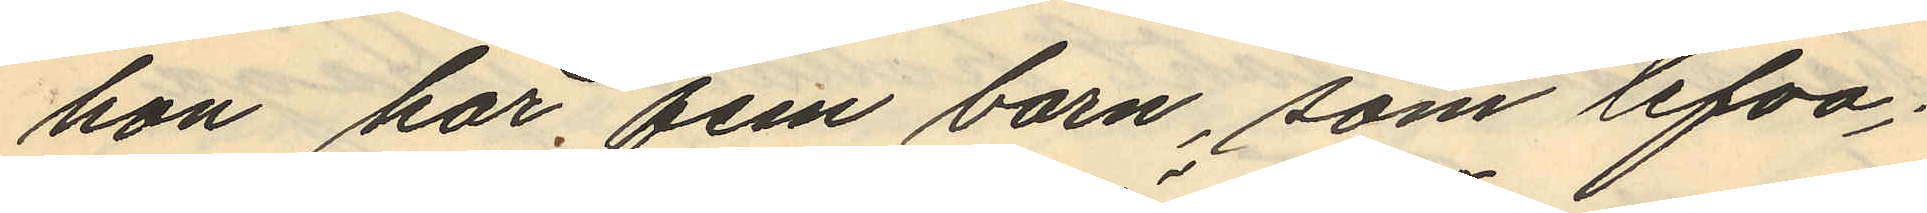hon har fem barn, som lefva;
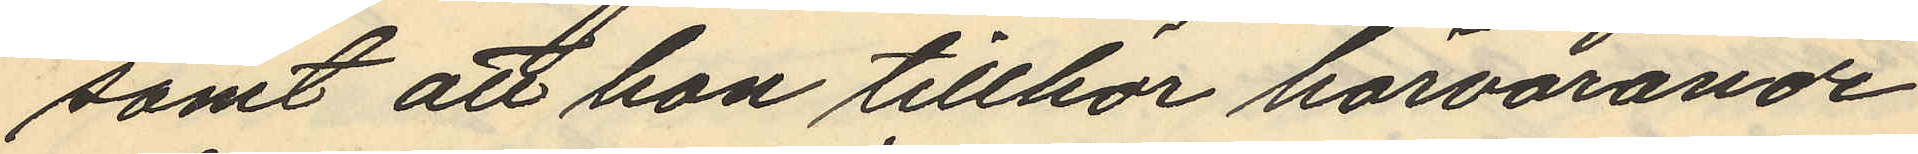samt att hon tillhör härvarande
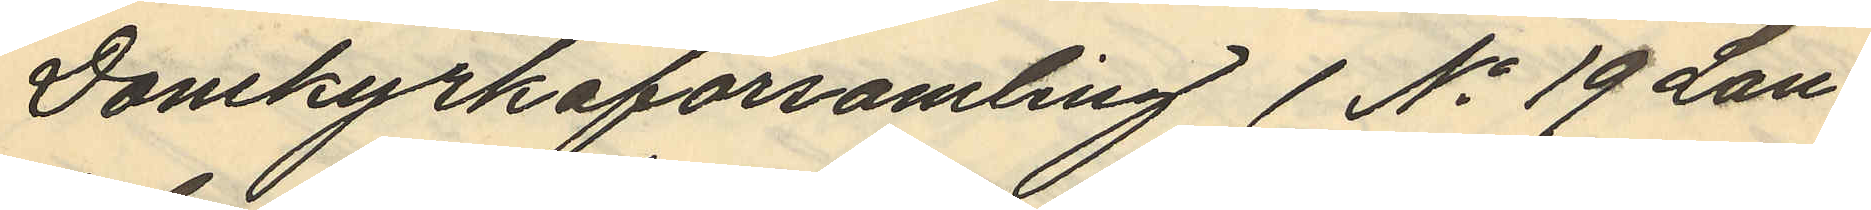Domkyrkoförsamling (No 19 Lan¬
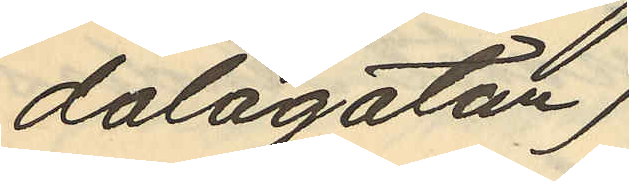dalagatan)
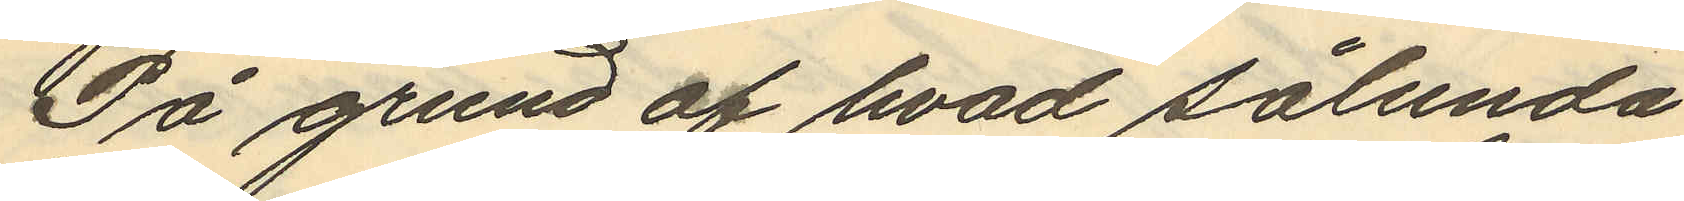På grund af hvad sålunda
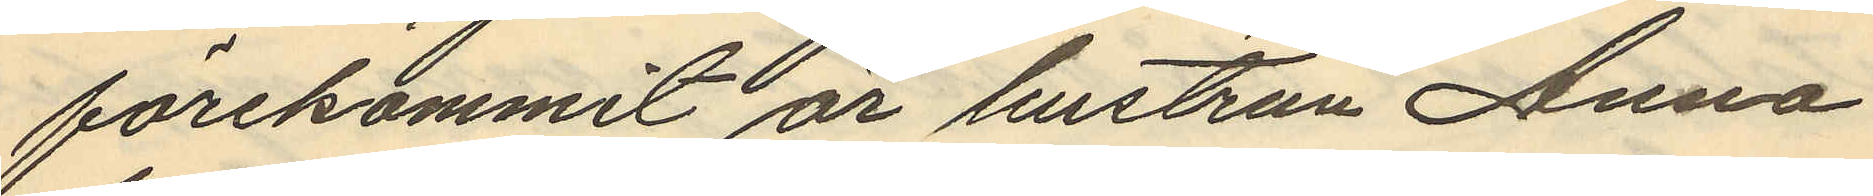förekommit är hustrun Anna
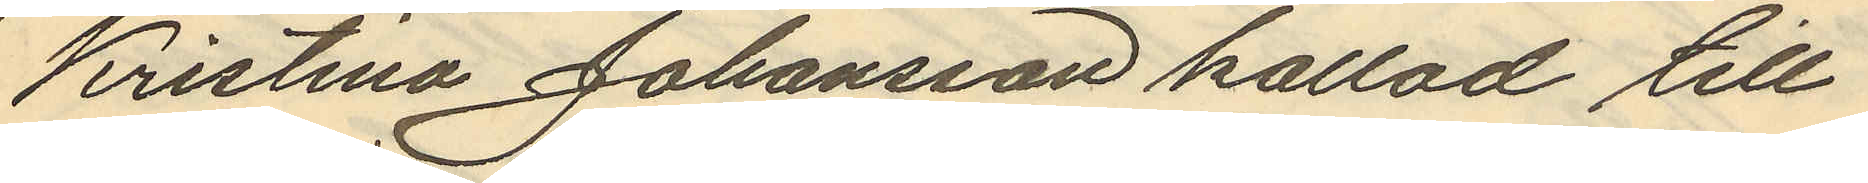Kristina Johansson kallad till
